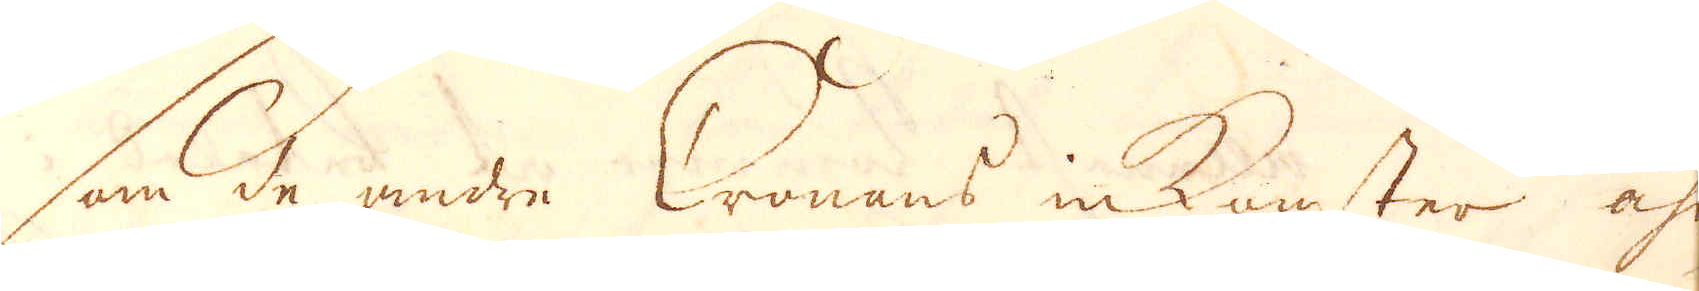Som de andre Cronans inkomster åhrl.
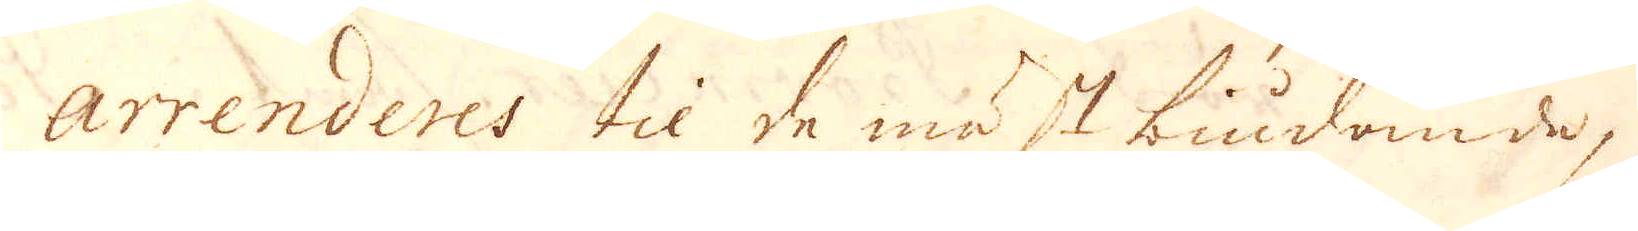arrenderes til de mäst biudande, så
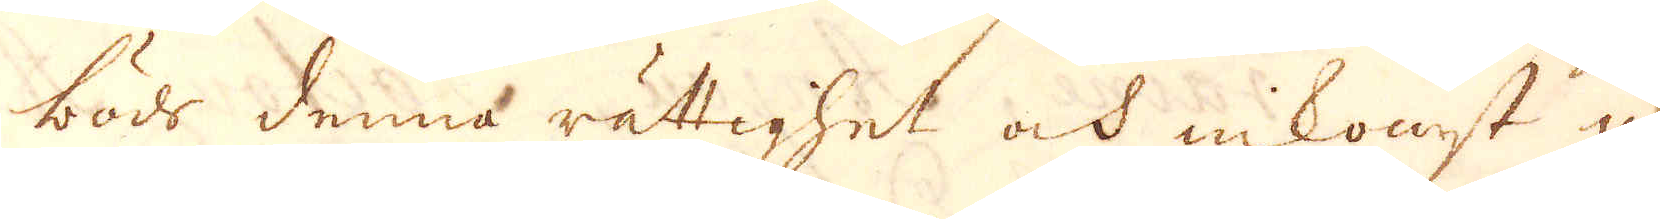böds denna rättighet och inkomst up
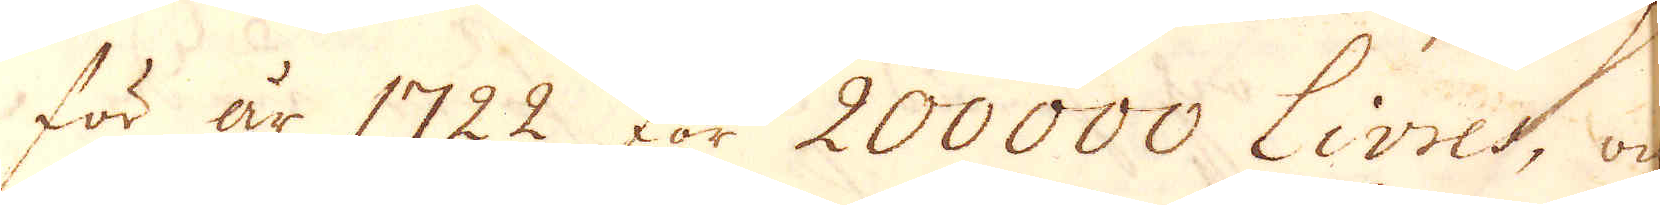för år 1722 för 200000 Livres, och
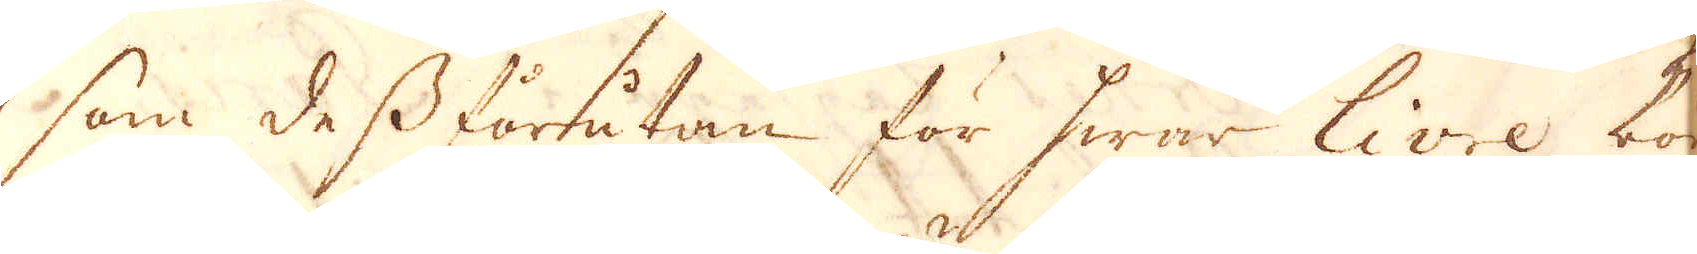som dess förrutan för hwar Livre bör
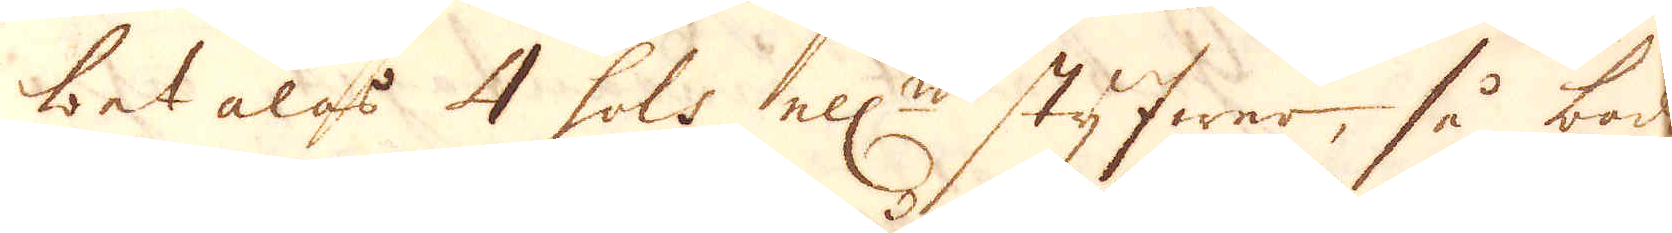betalas 4 sols ell:r styfwer, så böds
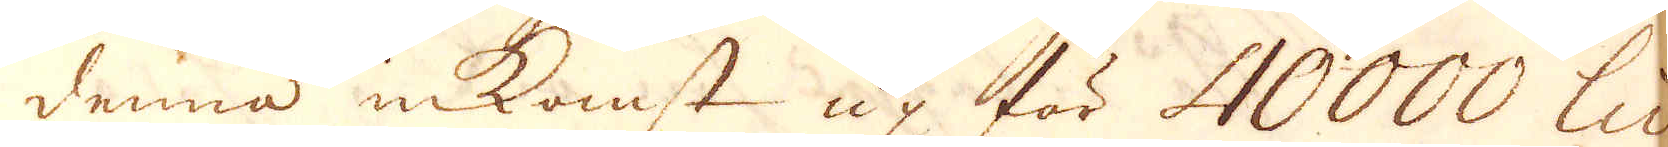denna inkomst up för 40000 Livres,
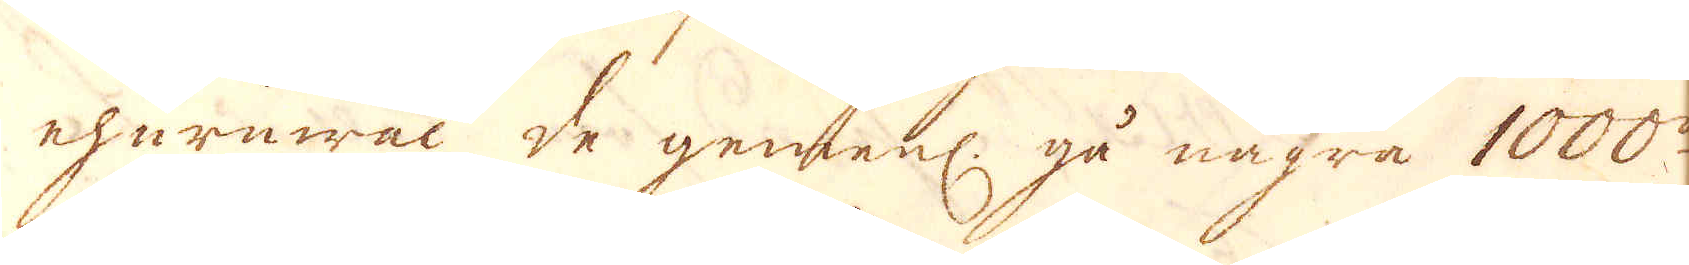ehuruwäl de gemenl. gå några 1000de
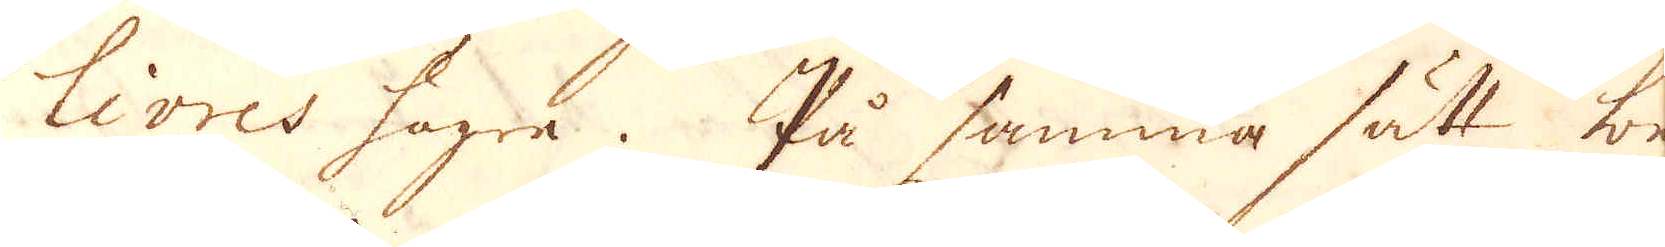Livres högre. På samma sätt be-
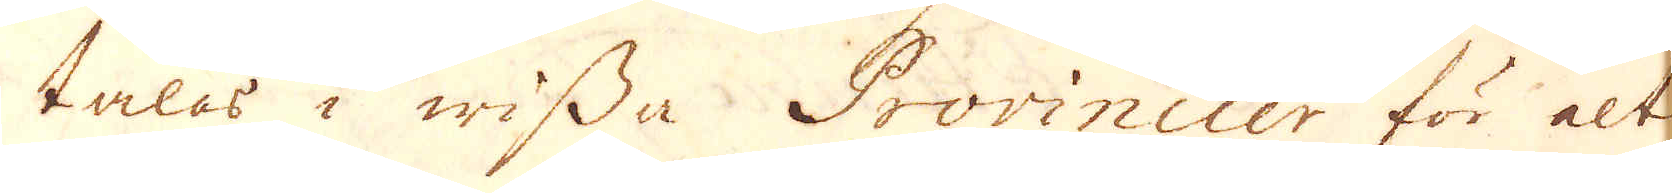talas i wissa Provincier för alt
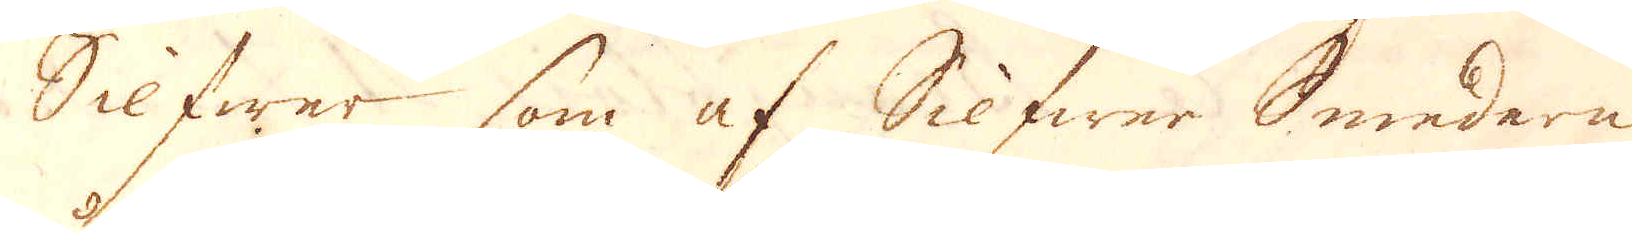Silfwer som af Silfwer Smederne
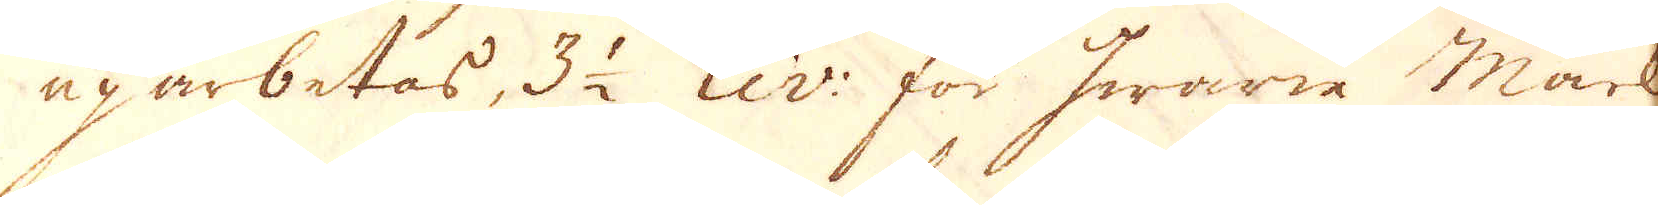uparbetas, 3 1/2 Liv: för hwarie mark
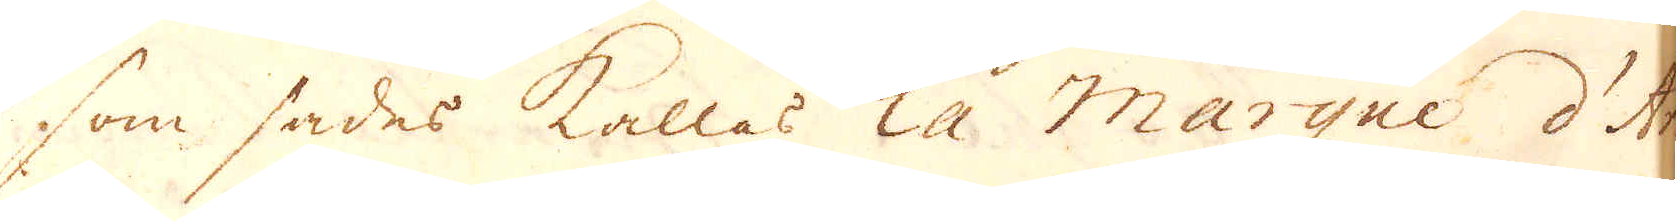som sades kallas la Marque d'Ar-
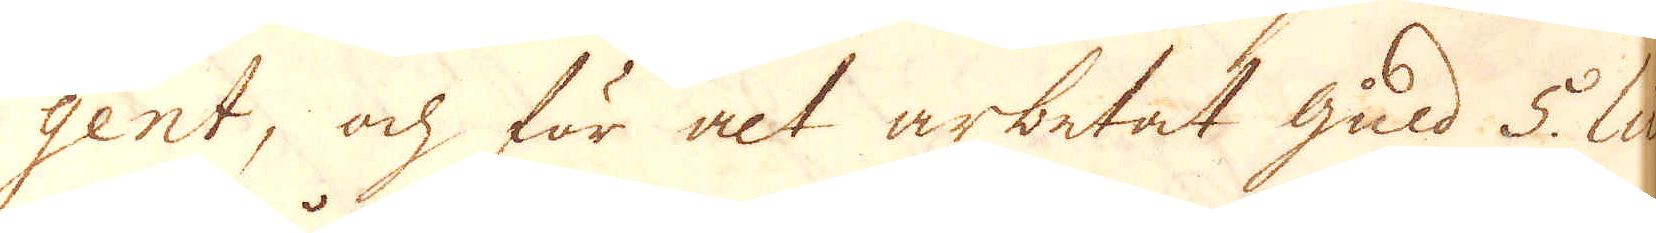gent, och för alt arbetat guld 5. Liv:
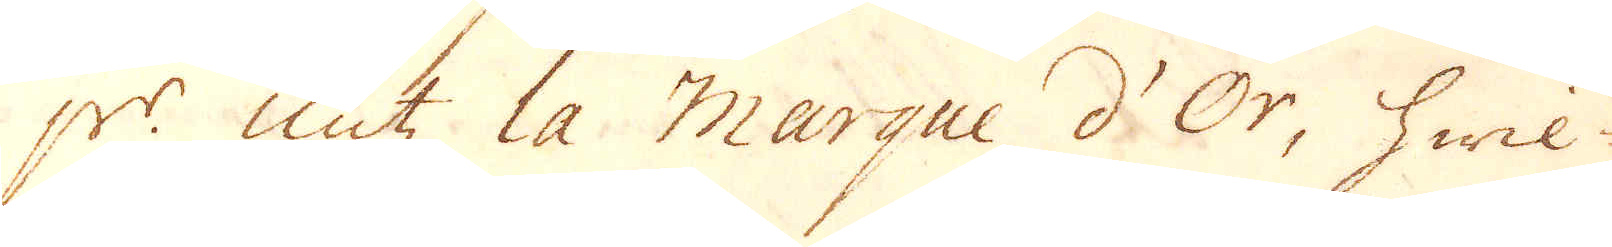p:r untz la Marque d'Or, hwil-
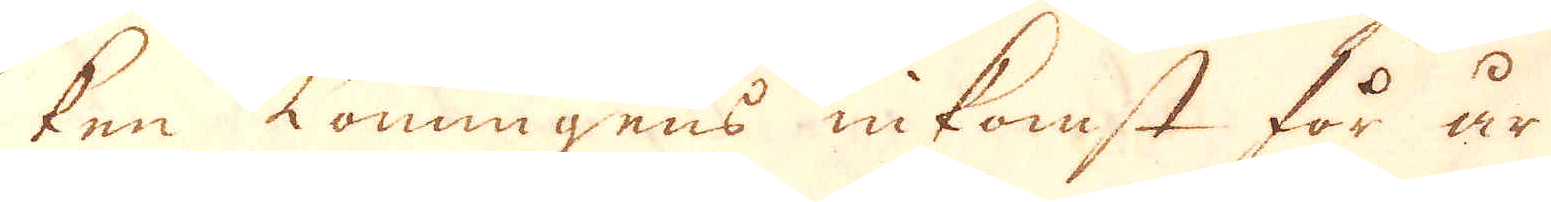ken Konungens inkomst för år
